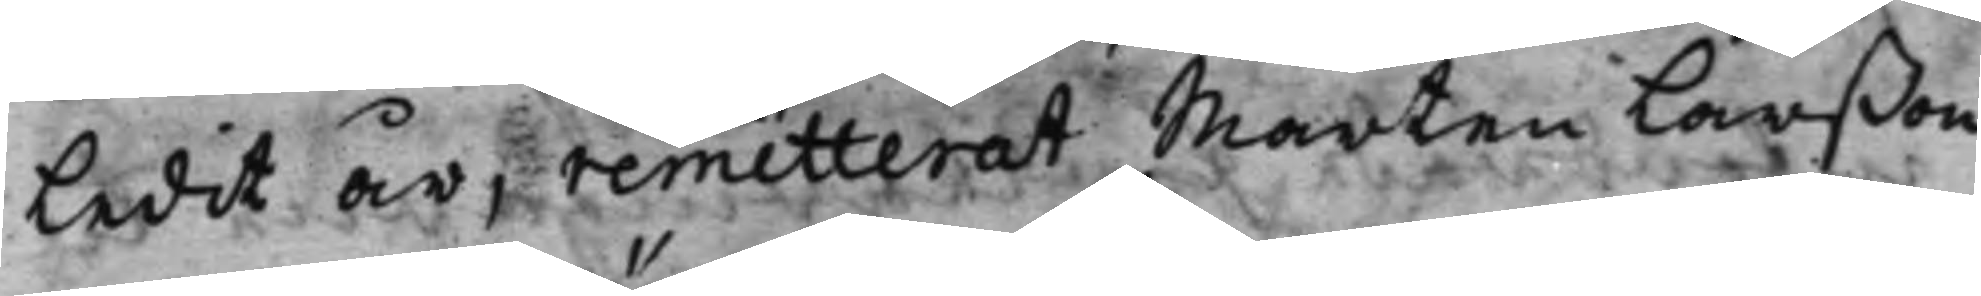ledit år, remitterat Mårten Larßon
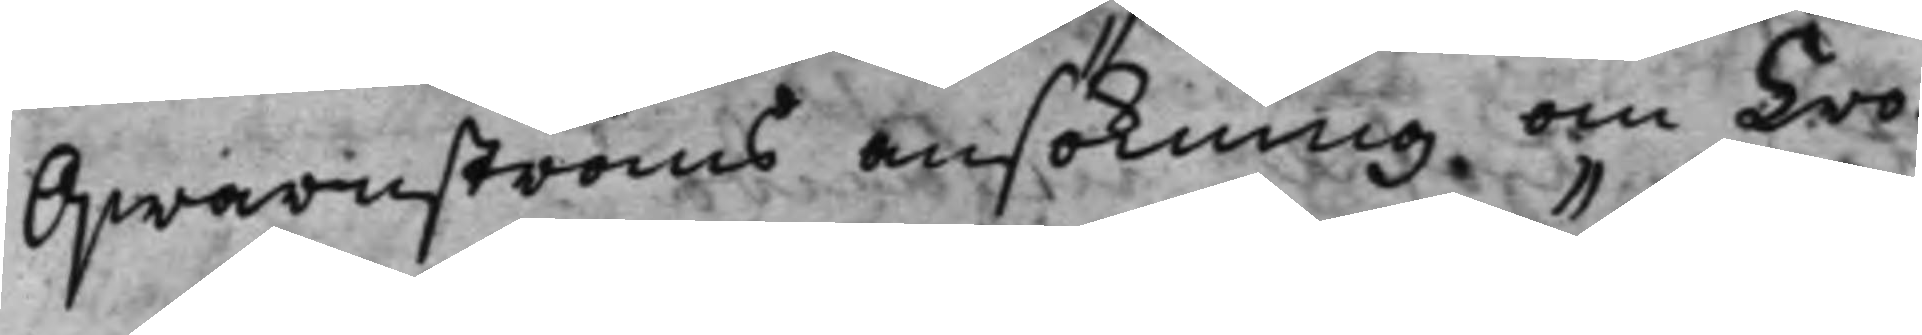Qwarnströms ansökning om Cro¬
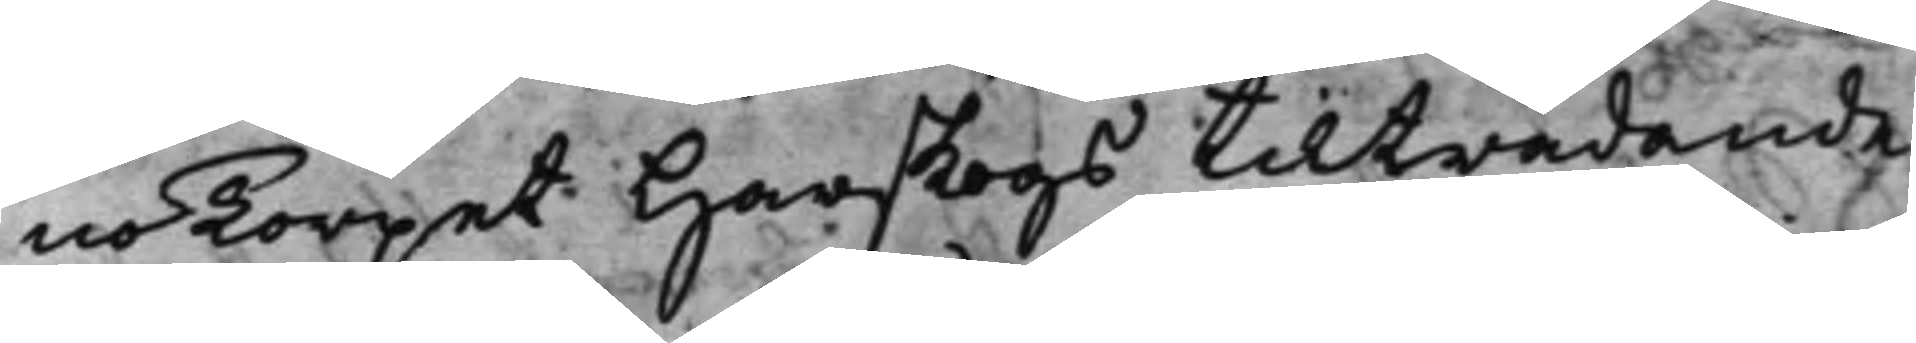noTorpet Harskogs tilträdande
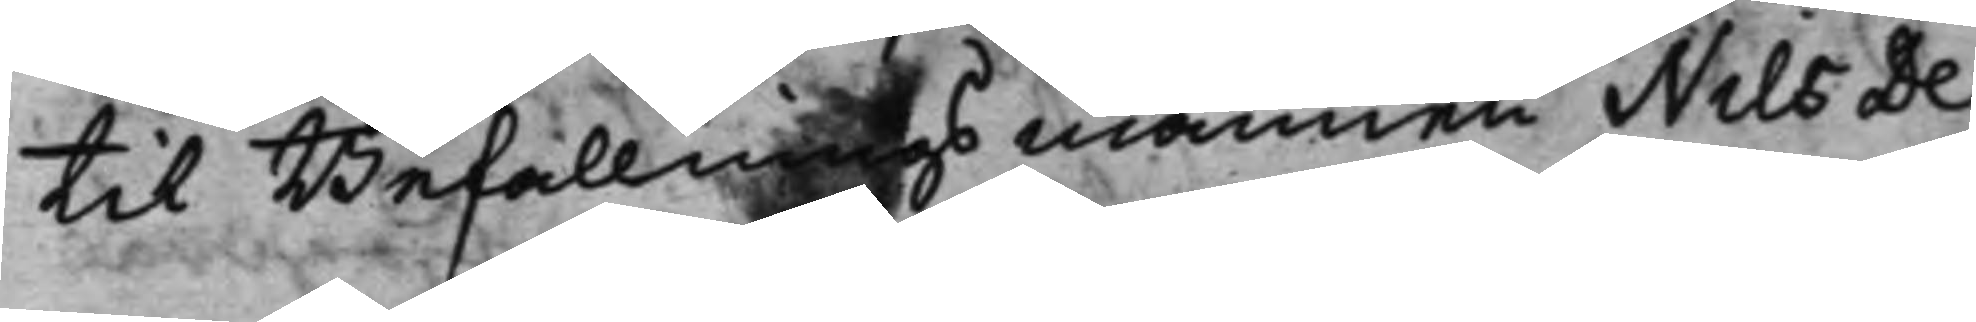til Befallnings mannen Nils De¬
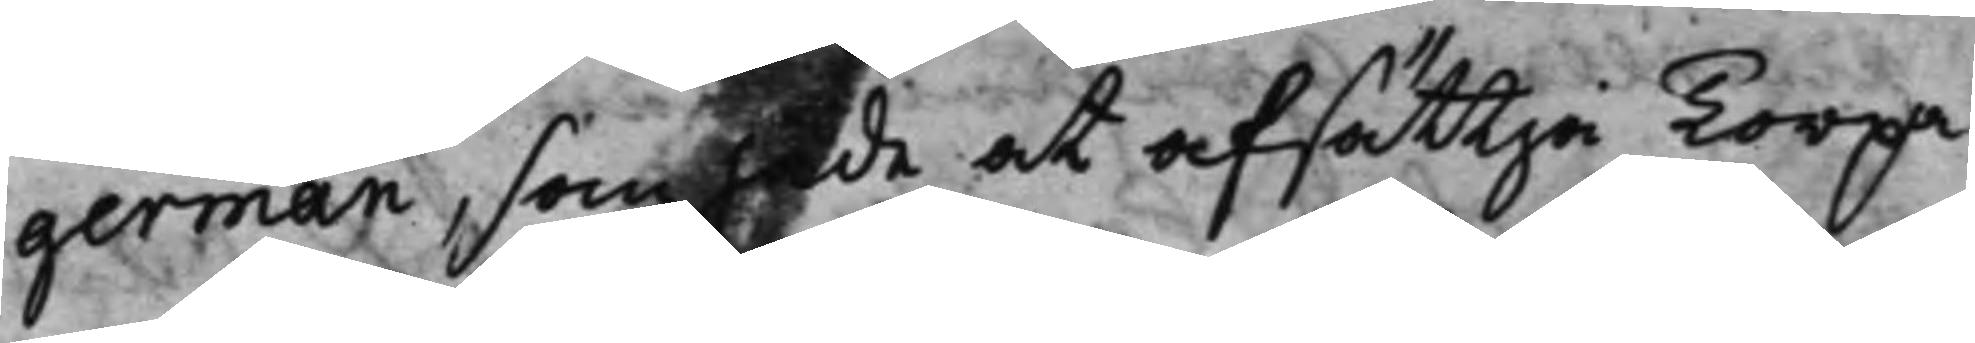german, som hade at afsättja Torpa¬
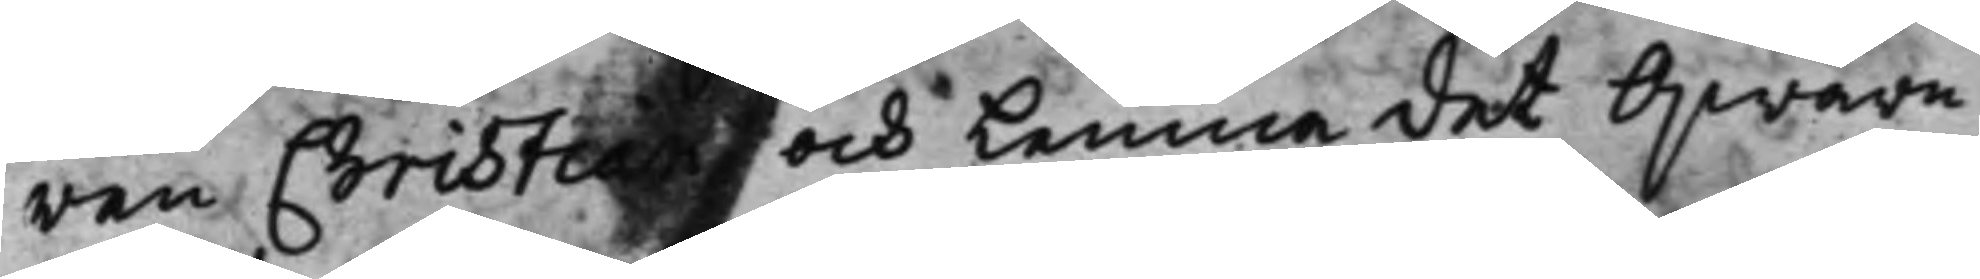ren Christian och lemna det Qwarn¬
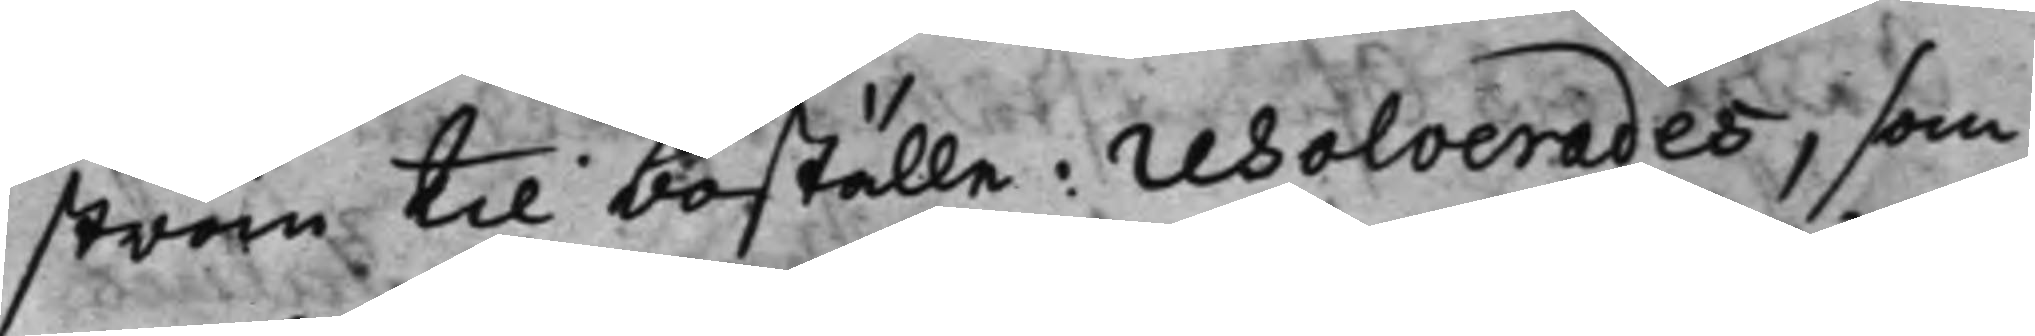ström til boställe: resolverades, som
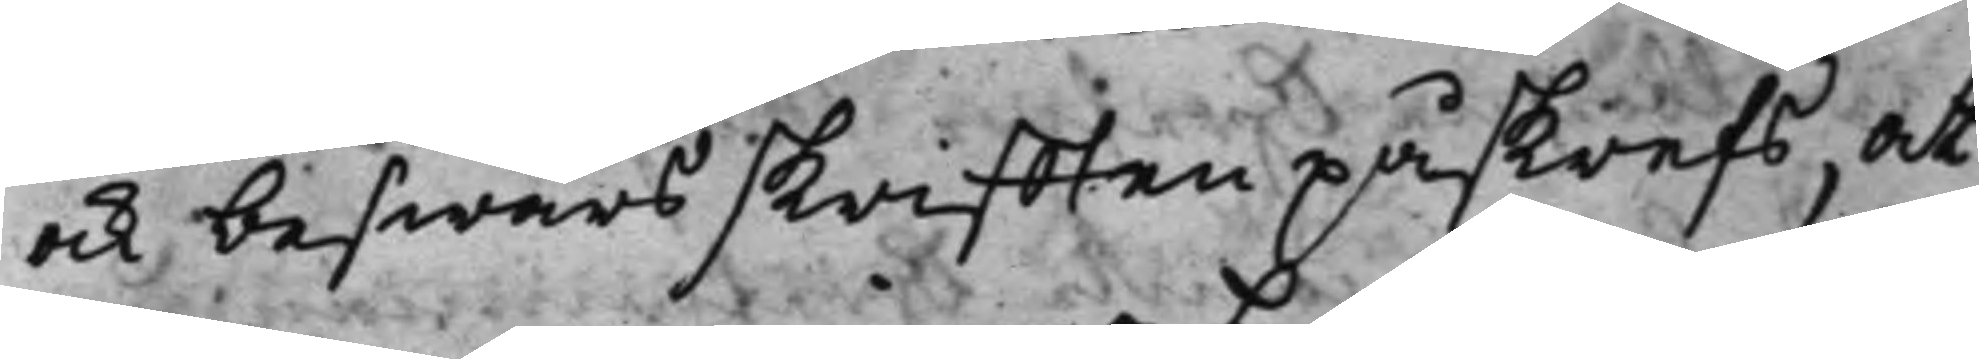ock beswärsskrifften påskrefs, at
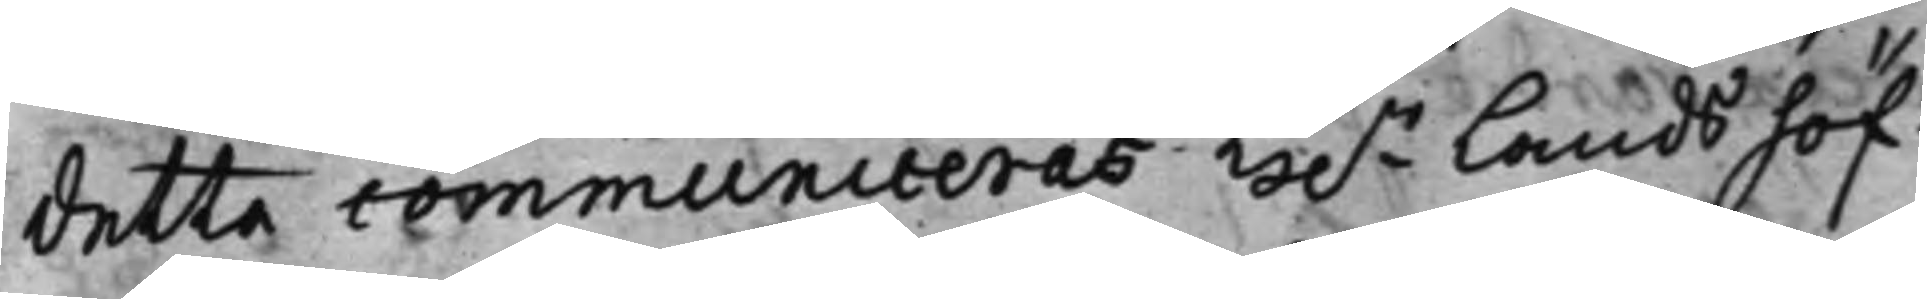detta communiceras H.r Landshöf¬
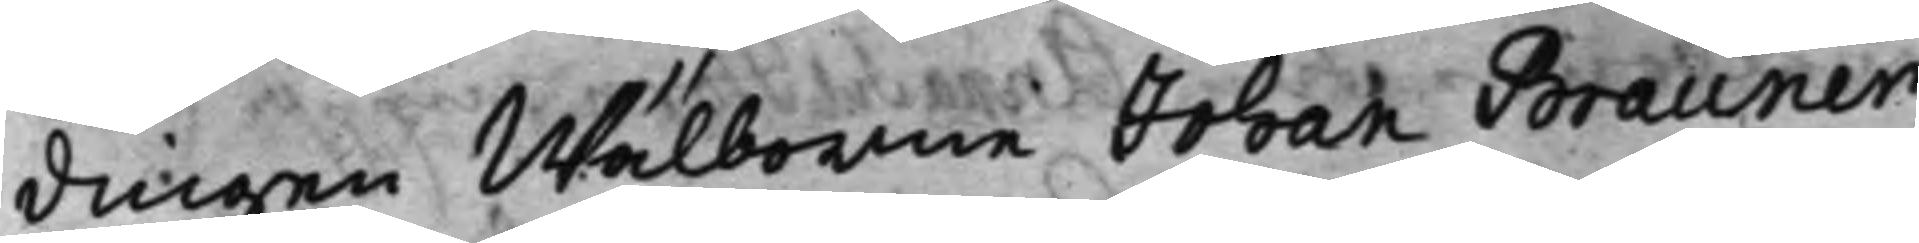dingen Wälborne Johan Brauner,
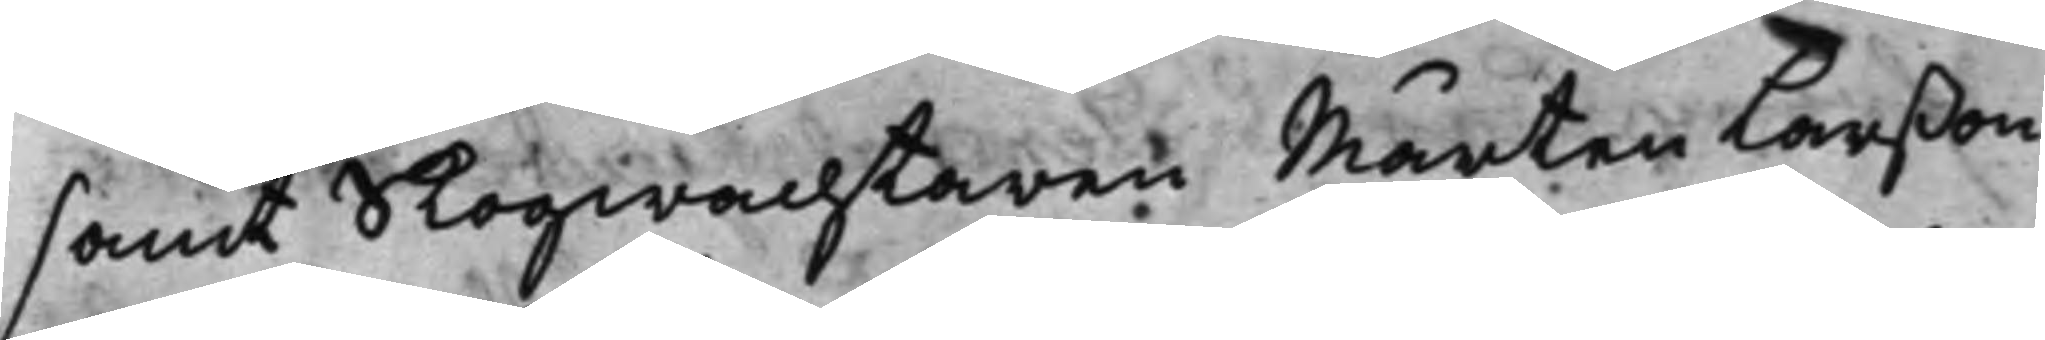samt Skogwachtaren Mårten Larßon
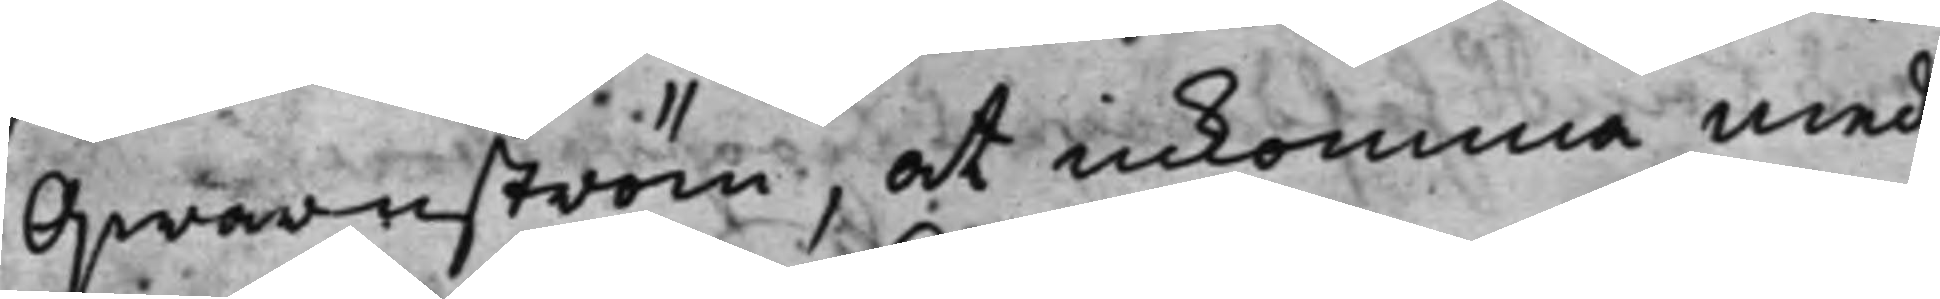Qwarnström, at inkomma med
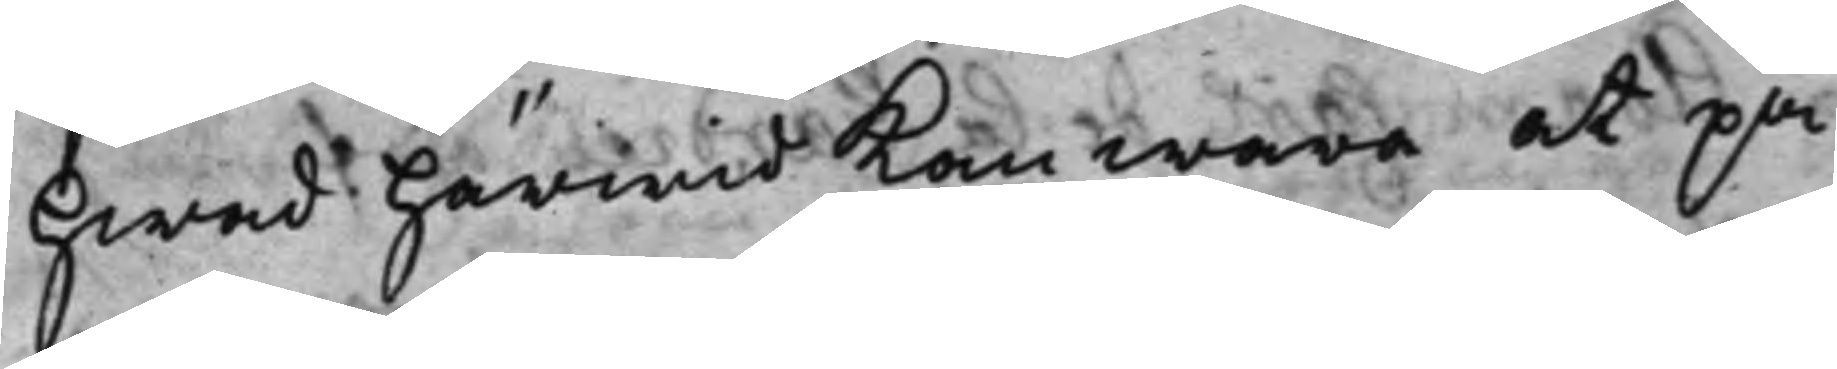hwad härmed kan wara at på¬
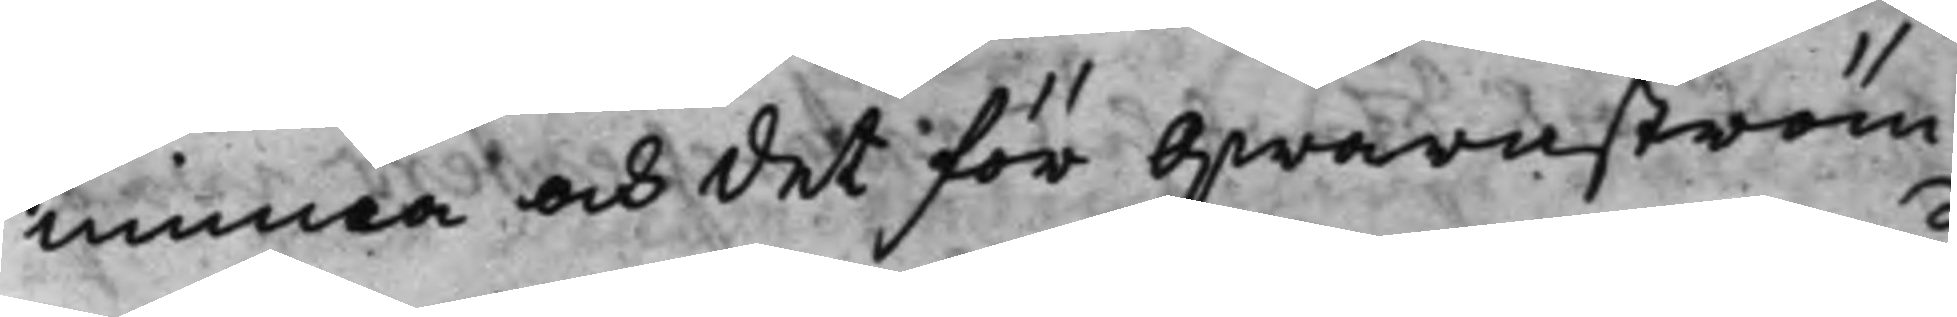minna och det för Qwarnström
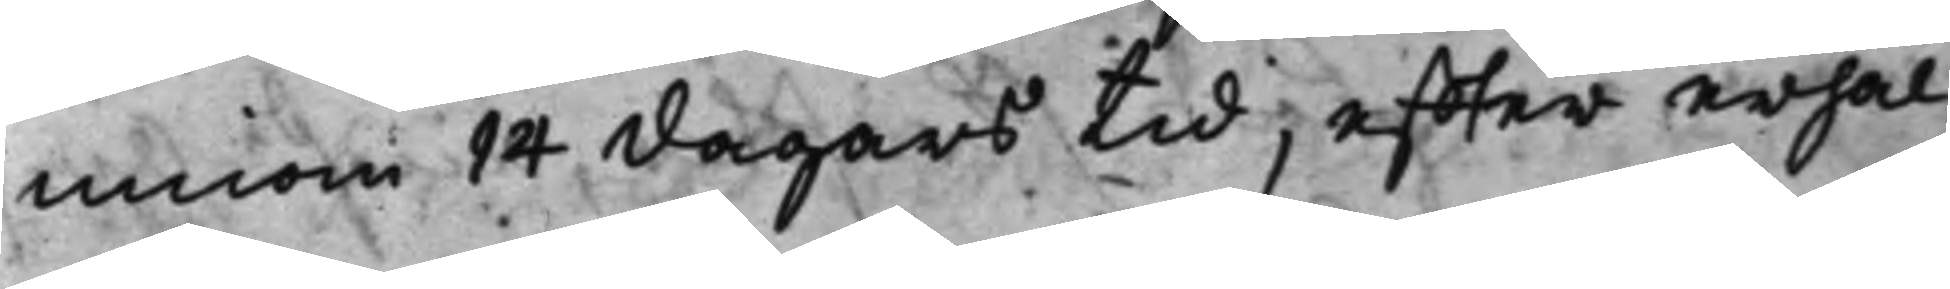innom 14 dagars tid, effter erhål¬
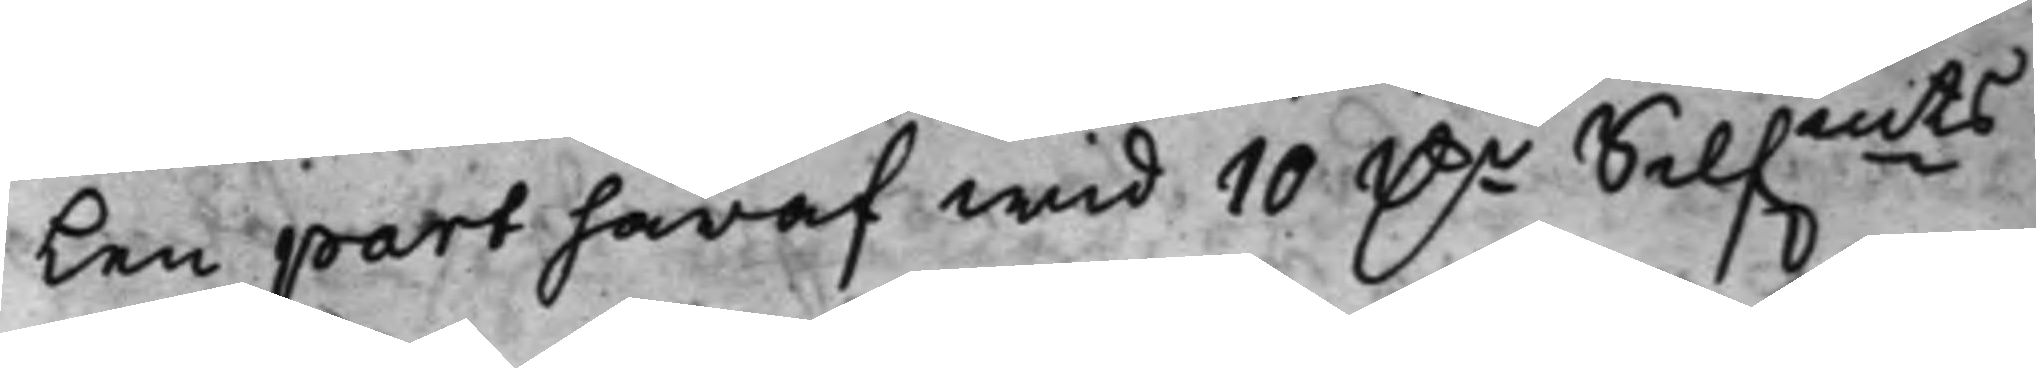Len part häraf wid 10 D.r Silf.mts
